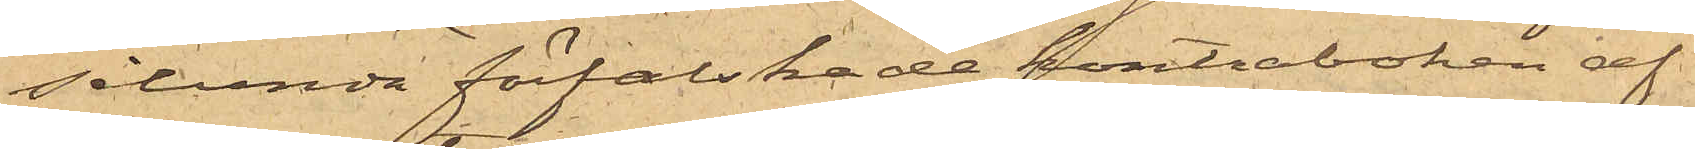sålunda förfalskade kontraboken af
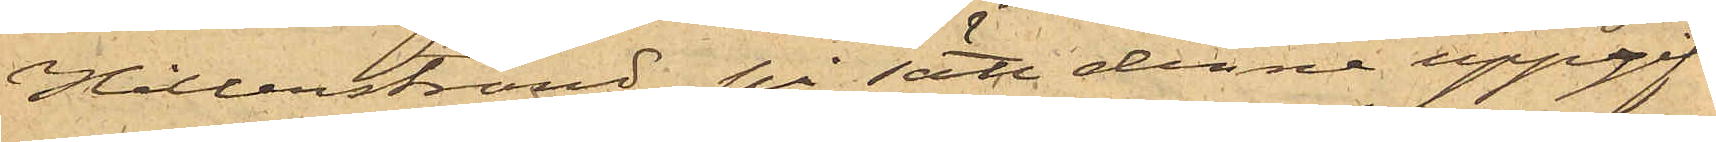Hillerstrand, på sätt denne uppgif¬
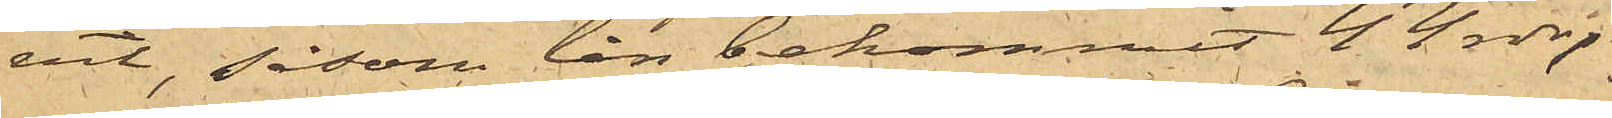vit, såsom lån bekommit 44 rdr,
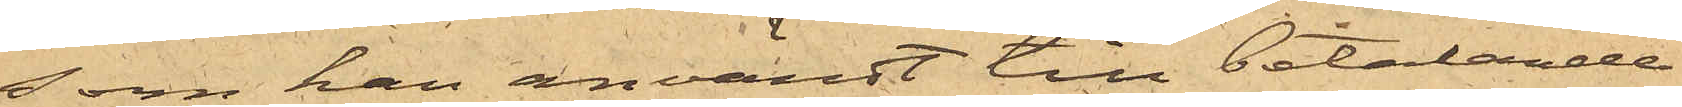som han användt till betalande
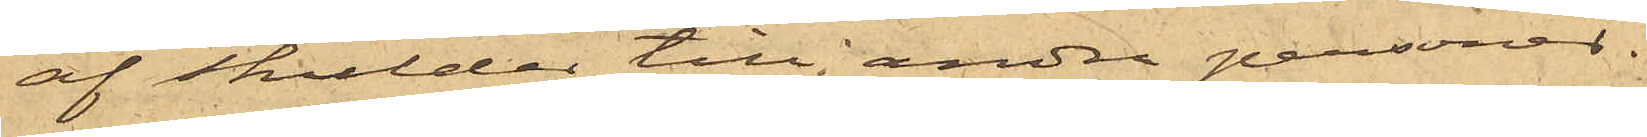af skulder till andra personer.
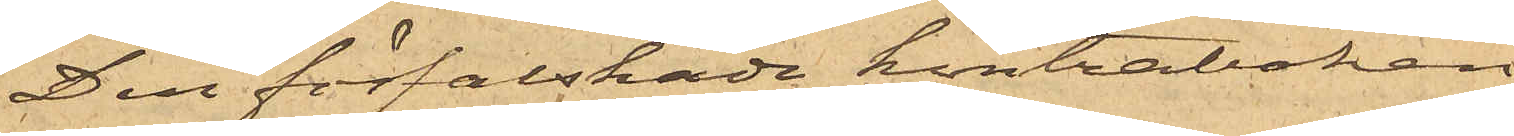Den förfalskade kontraboken
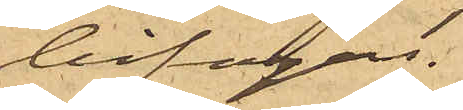bifogas.
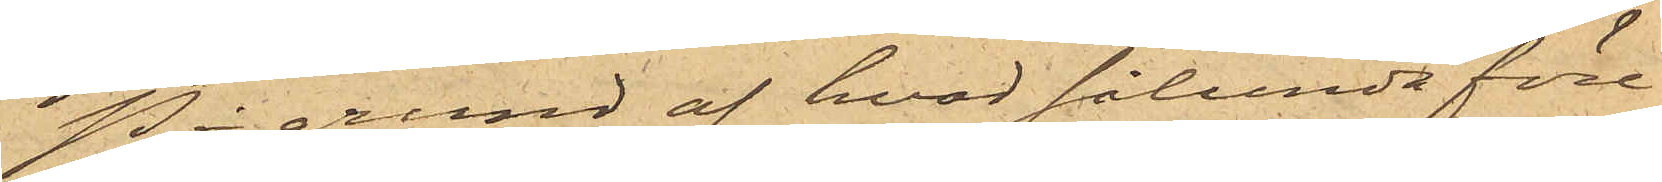På grund af hvad sålunda före¬
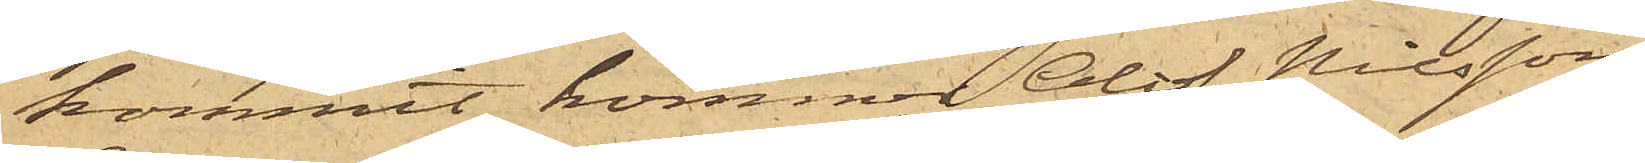kommit, kommer Olof Nilsson,
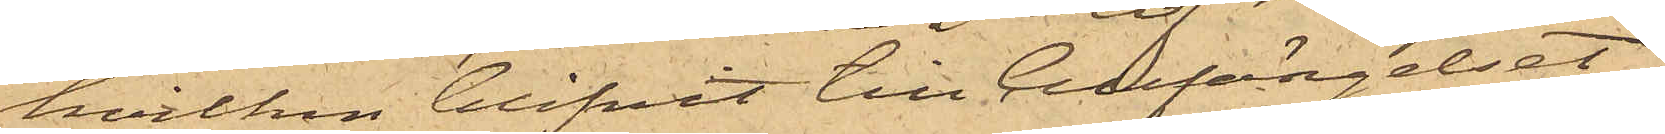hvilken blifvit till Cellfängelset
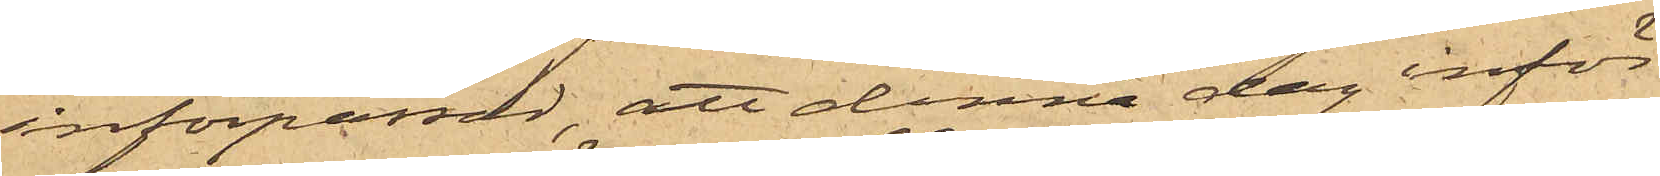införpassad, att denna dag inför
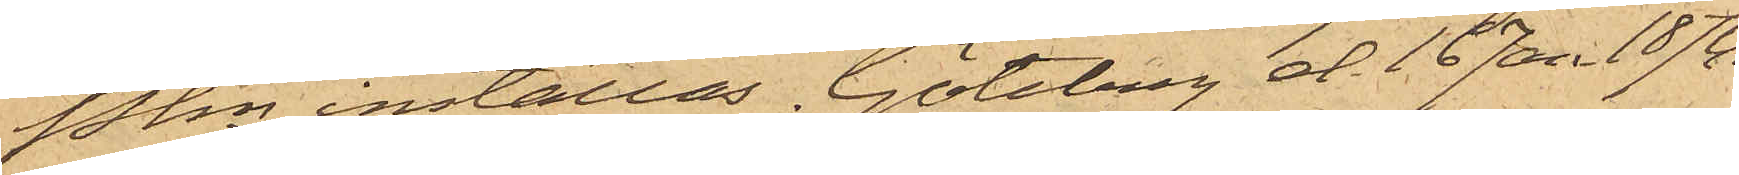Pkn inställas. Göteborg d. 16 Jan 1874.
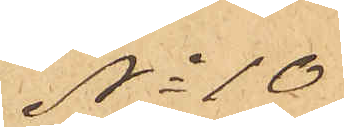No 10
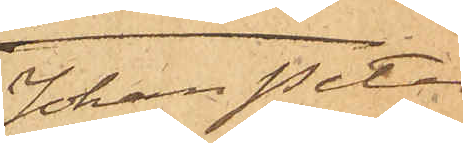Johan Peter
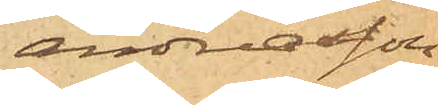Andreasson
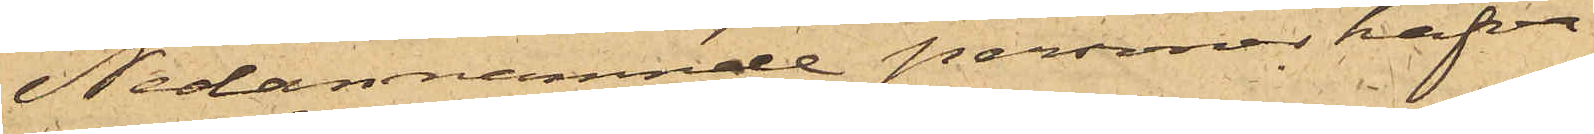Nedannämnde personer hafva
